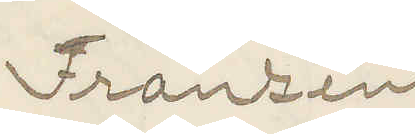Franzén
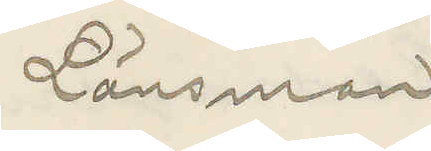Länsman
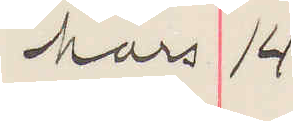Mars 14
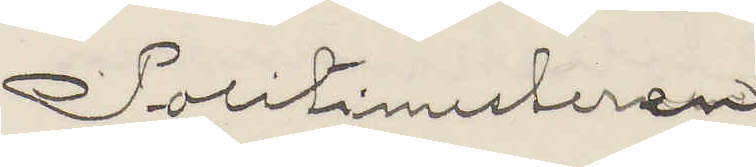Politimesteren
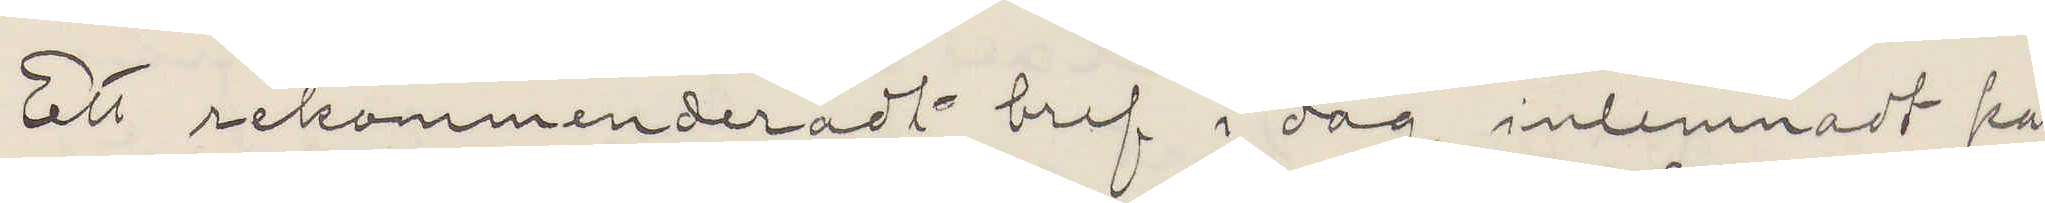Ett rekommenderadt bref i dag inlemnadt på
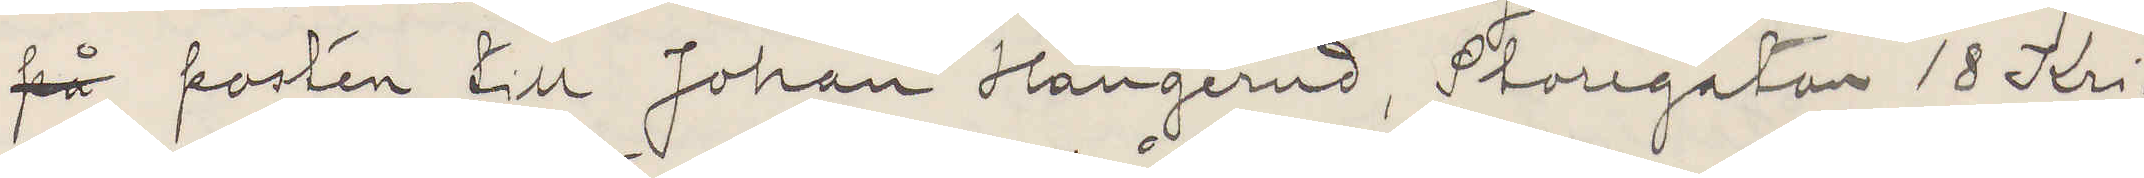på posten till Johan Hangerud, Storegatan 18 Kri¬
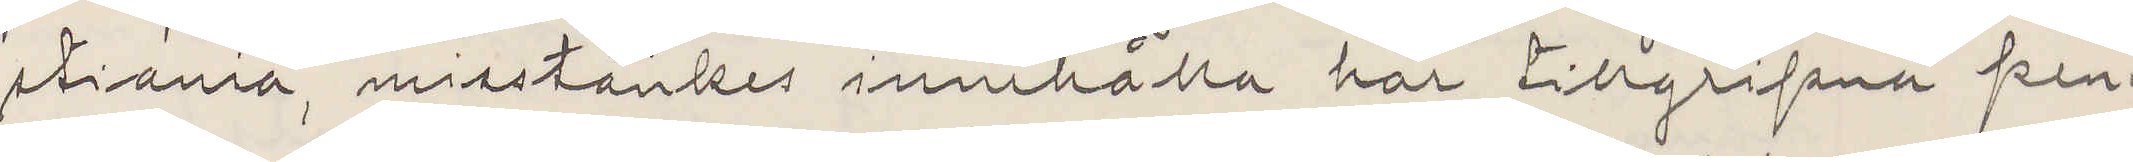stiania, misstänkes innehålla här tillgripna pen¬
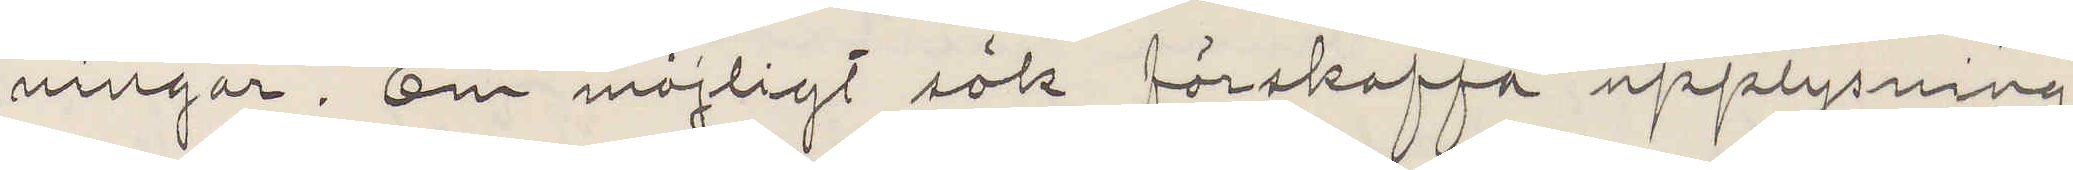ningar. Om möjligt sök förskaffa upplysning
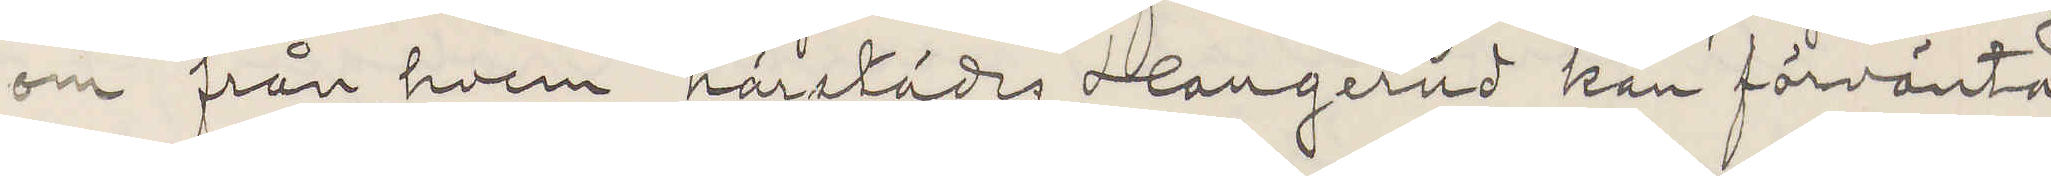om från hvem härstädes Hangerud kan förvänta
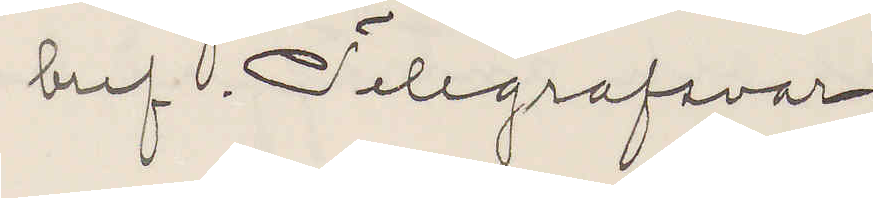bref. Telegrafsvar.
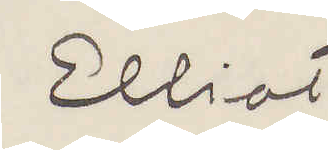Elliot
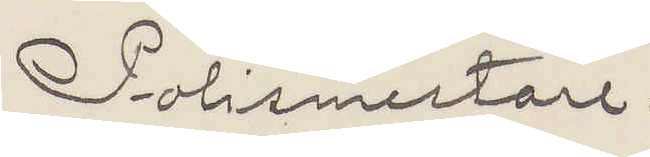Polismestare.
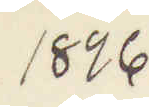1896
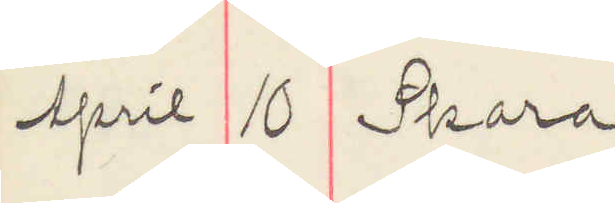April 10 Skara
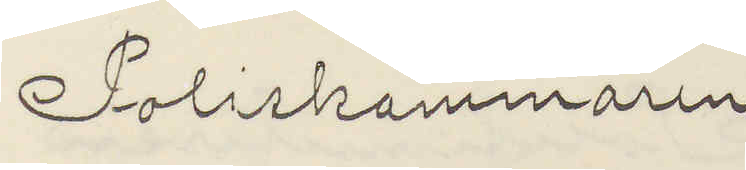Poliskammaren
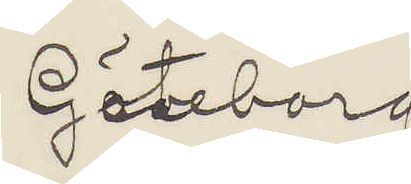Göteborg
